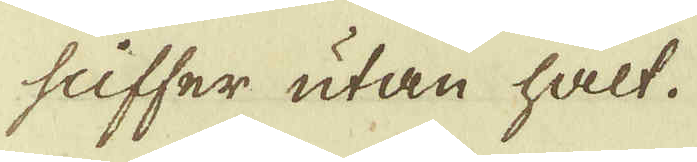säffer utan hålt.
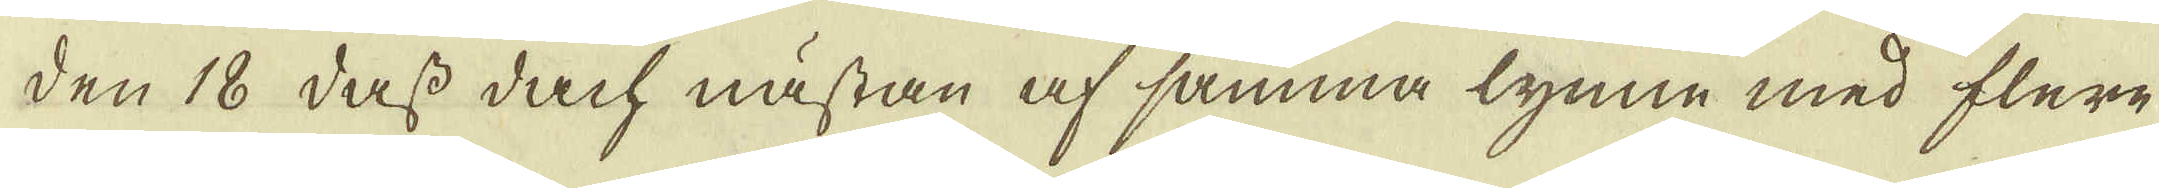den 18 dass dach nästan af samma lynne med flere
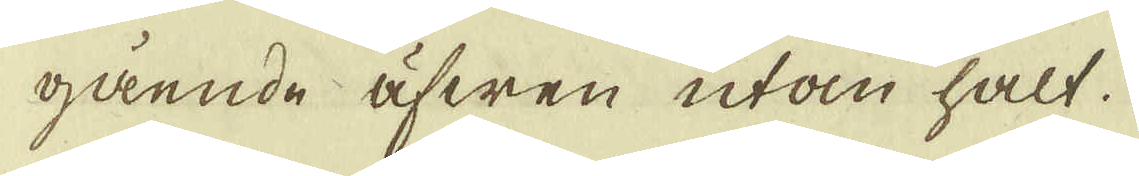gående äfwen utan hålt.
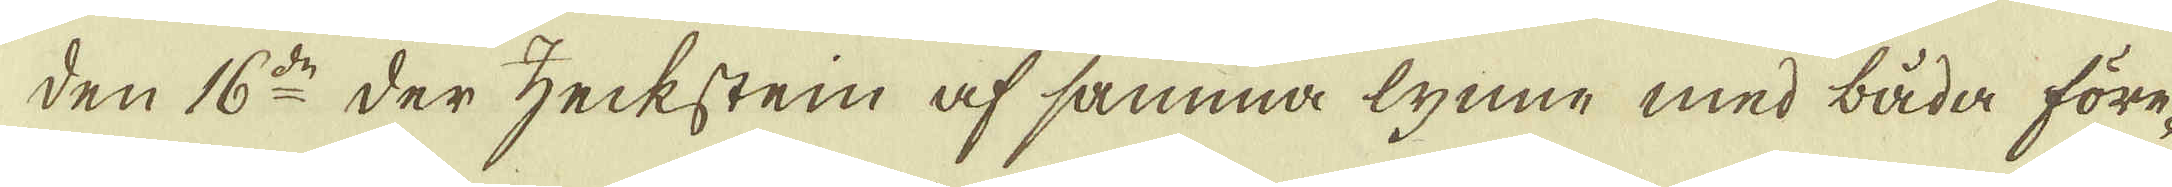den 16:de Der zecksten af samma lynne med båda före-
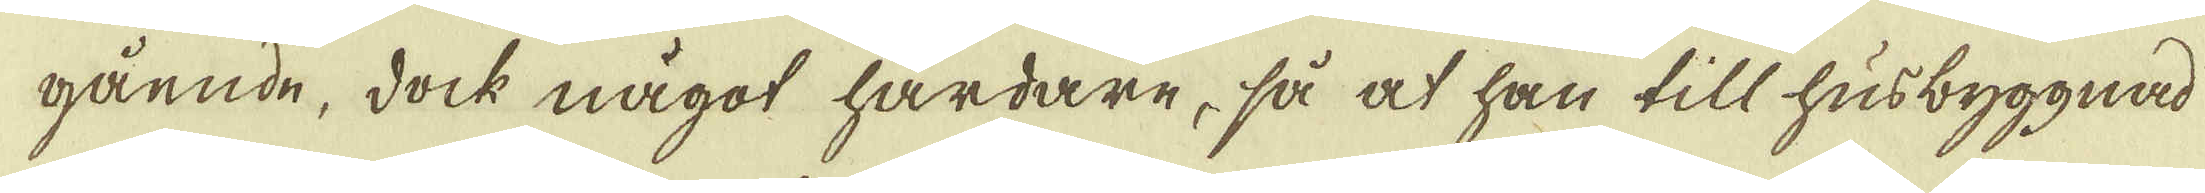gående, dock något härdare, så at han till husbyggnad
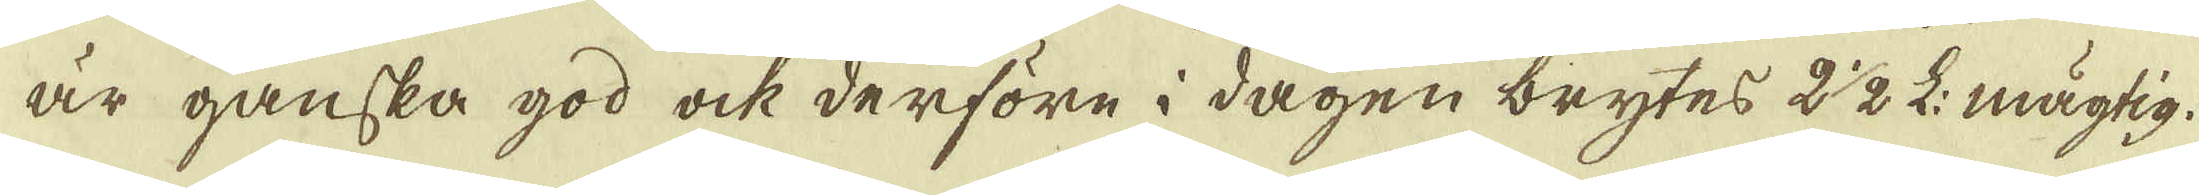är ganska god ock derföre i dagen brytes 2 1/2 L: mägtig.
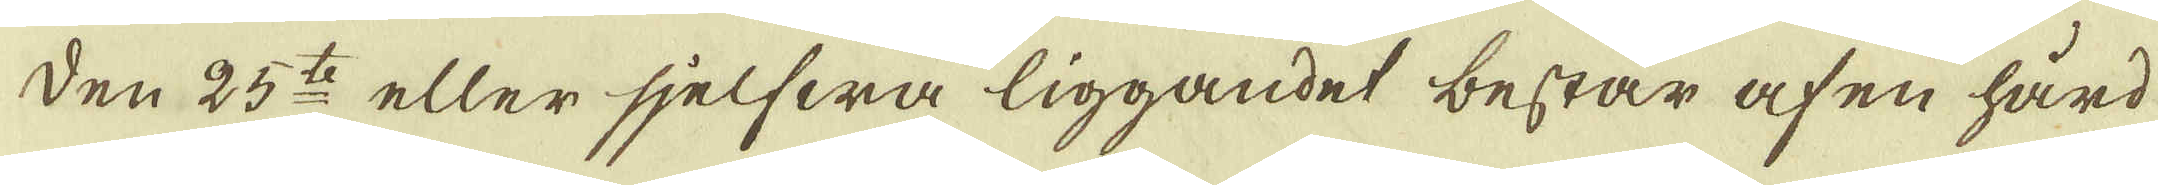Den 25:to eller sjelfwa liggandet består af en hård
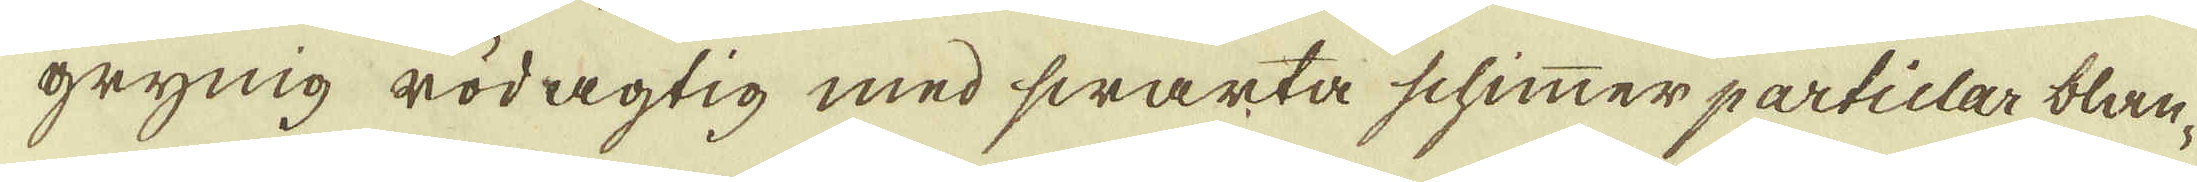öfrynig rödagtig med swarta schimmer partielar blan-
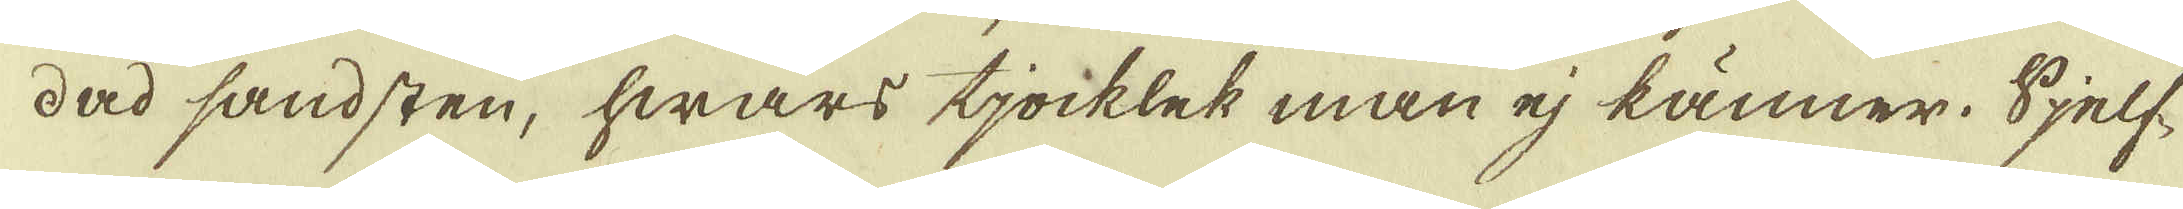dad sandsten, hwars tjocklek man ej känner. Sjelf-
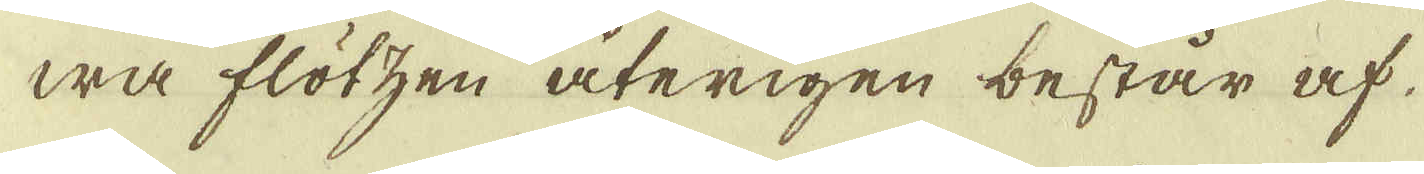wa flötzen återigen består af
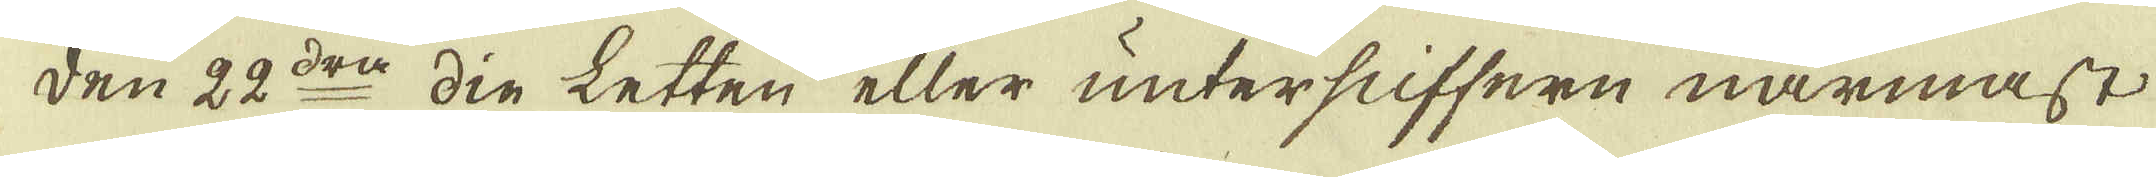den 22:dre din letten eller untersuffern närmast
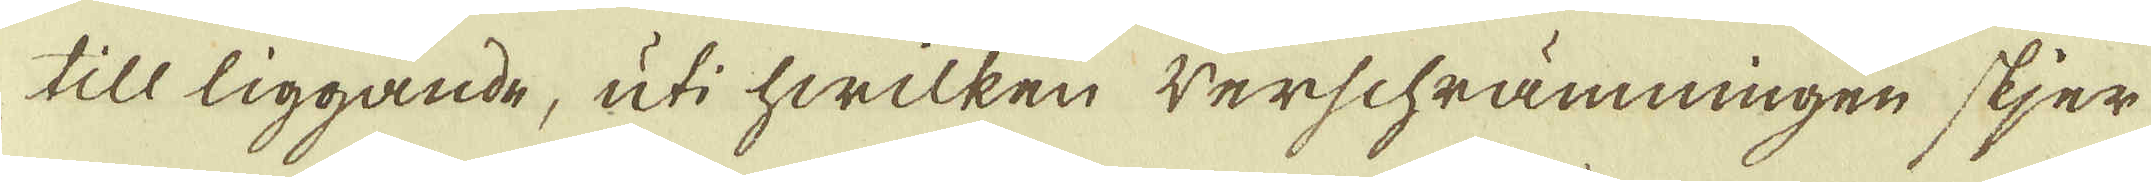till liggande, uti hwilken werschrämningen skjer
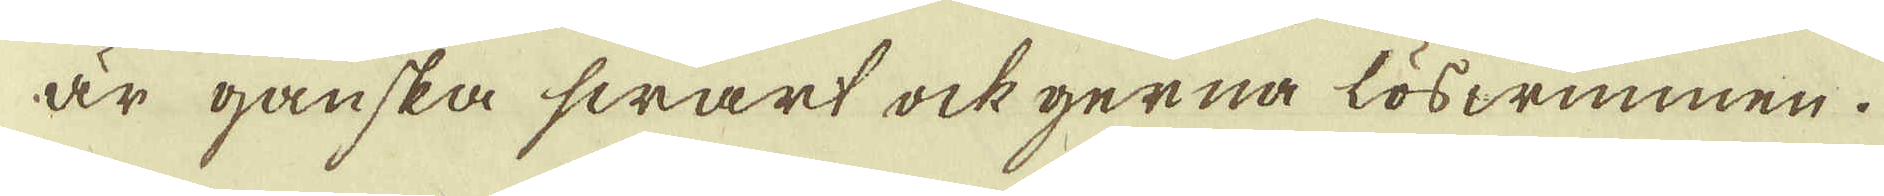är ganska swart ock gerna löswunnen.
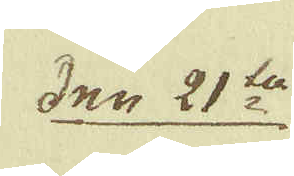den 21:ta
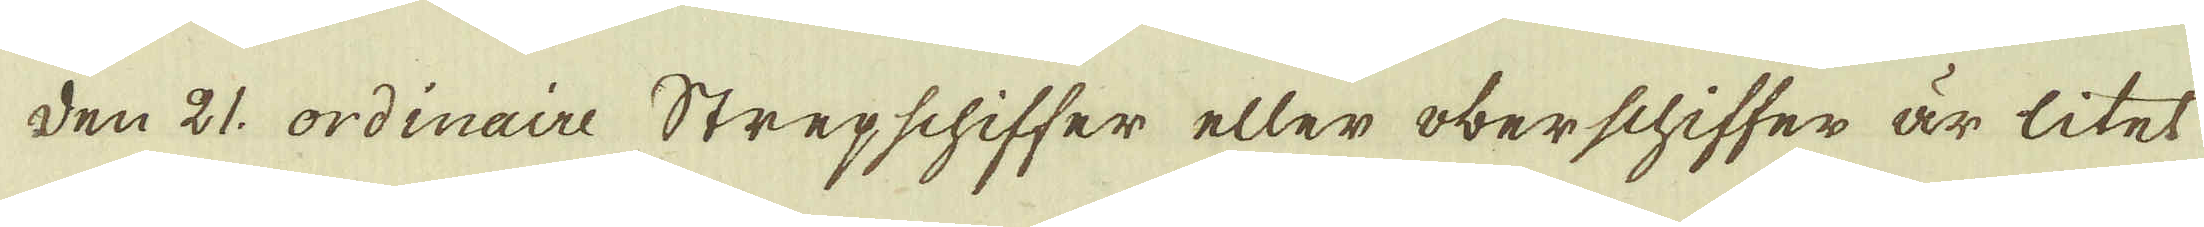den 21 ordinaire Strepschiffer eller oberschiffer är litet
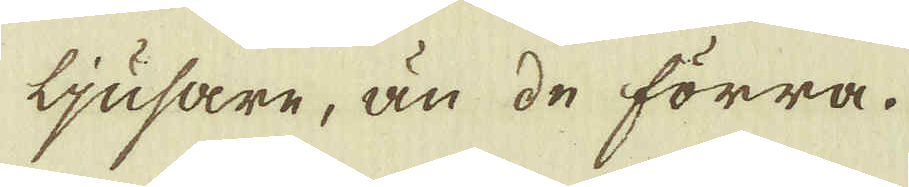ljusare, än de förra.
